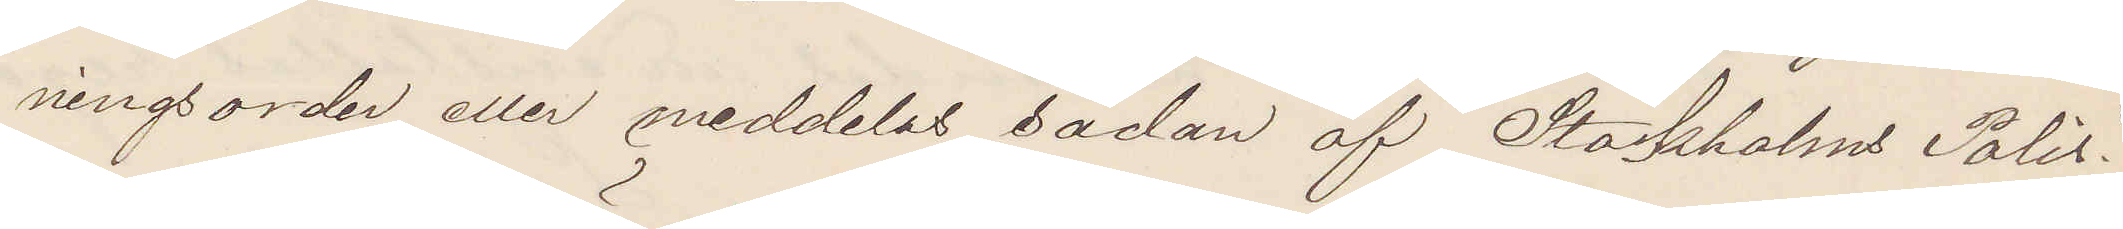ningsorder eller meddelas sådan af Stockholms Polis?
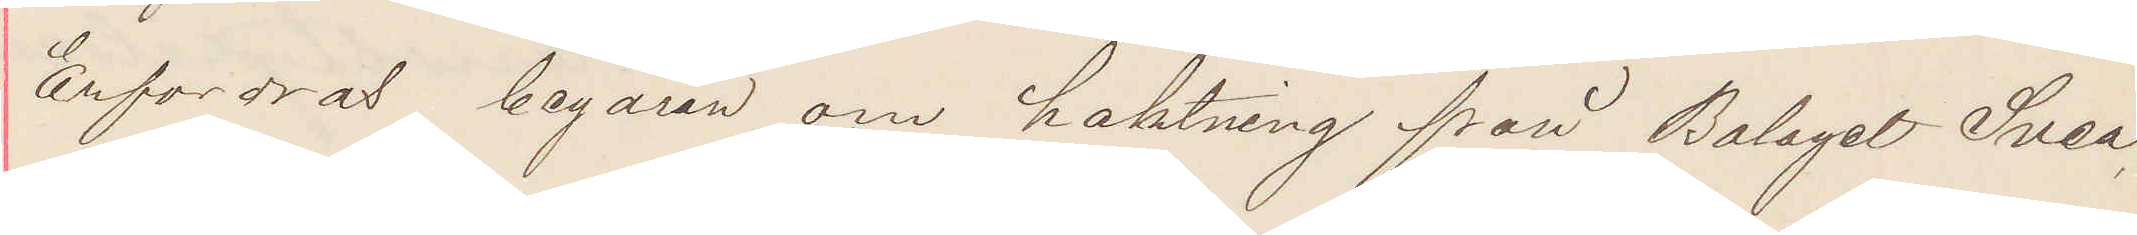Erfordras begäran om haktning från Bolaget Svea
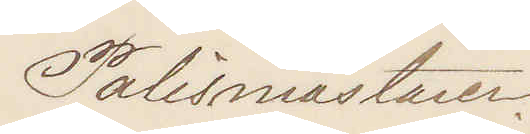Polismästaren
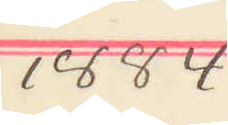1884
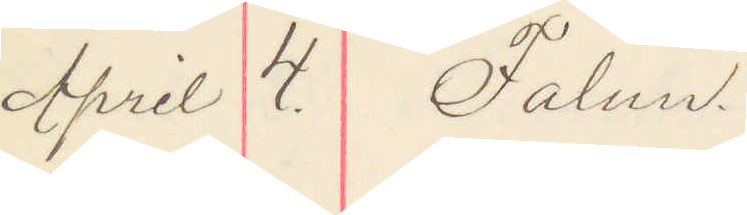April 4. Falun
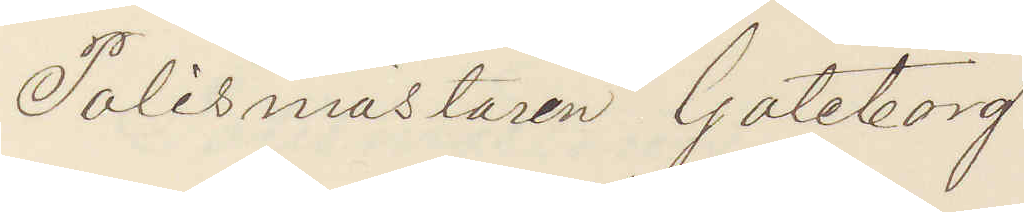Polismästaren Göteborg.
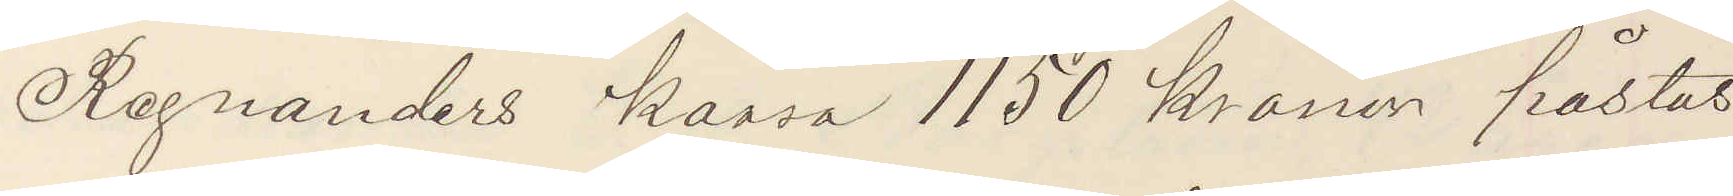Regnanders kassa 1150 kronor påstås
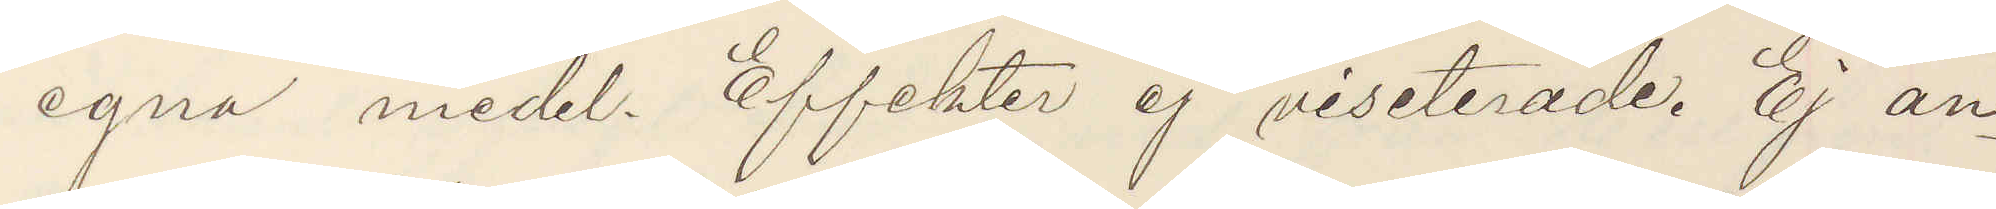egna medel. Effekter ej visiterade. Ej an¬
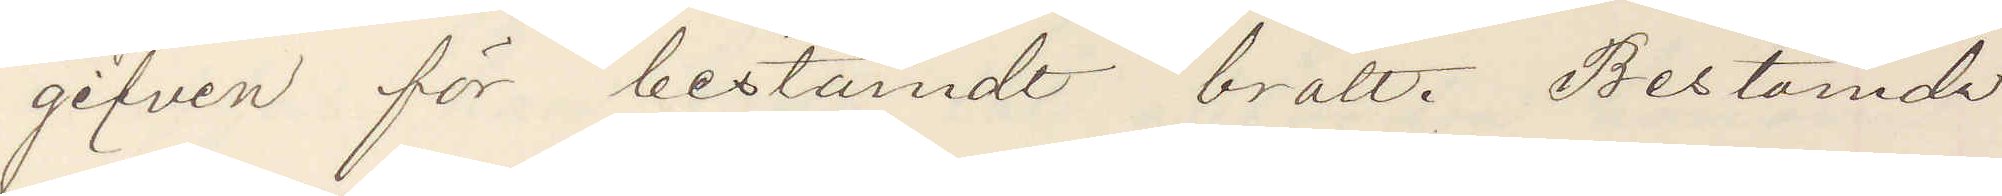gifven för bestämdt brott. Bestämda
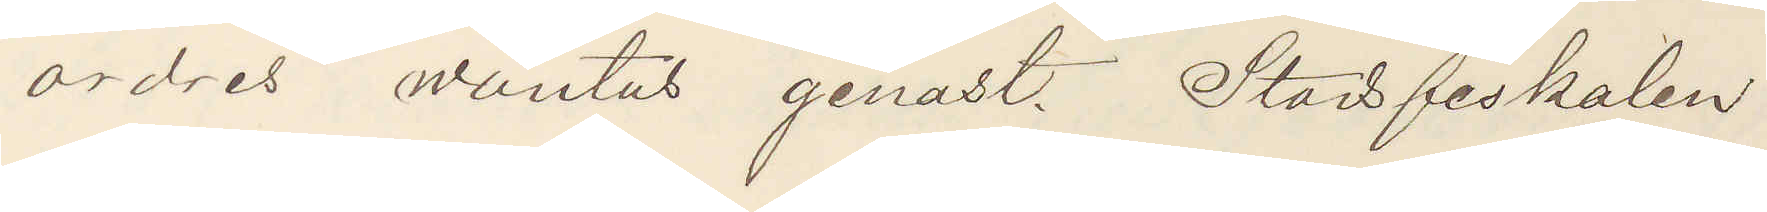ordres wäntas genast. Stadsfiskalen
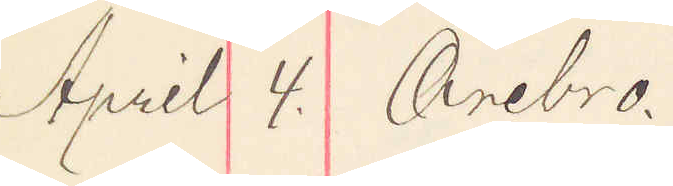April 4. Örebro.
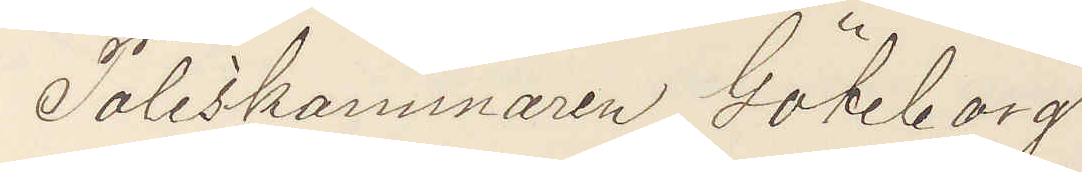Poliskammaren Göteborg.
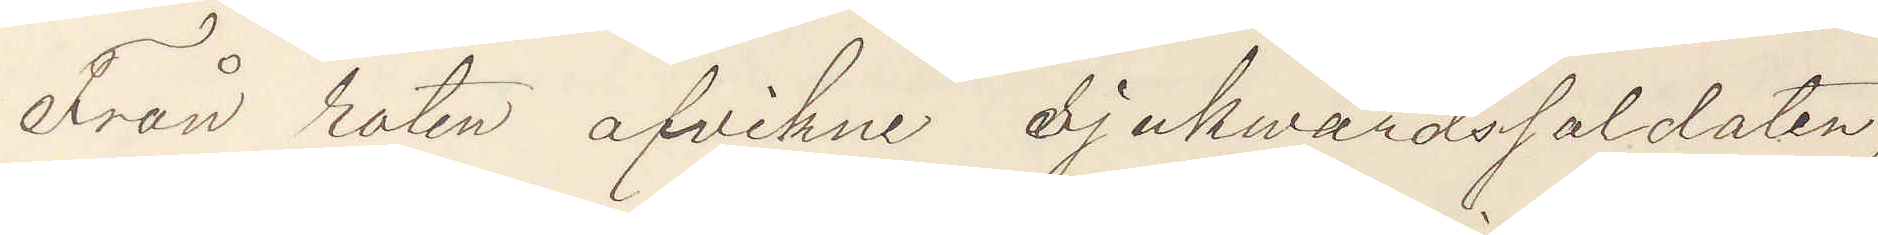Från roten afvikne Sjukwårdssoldaten,
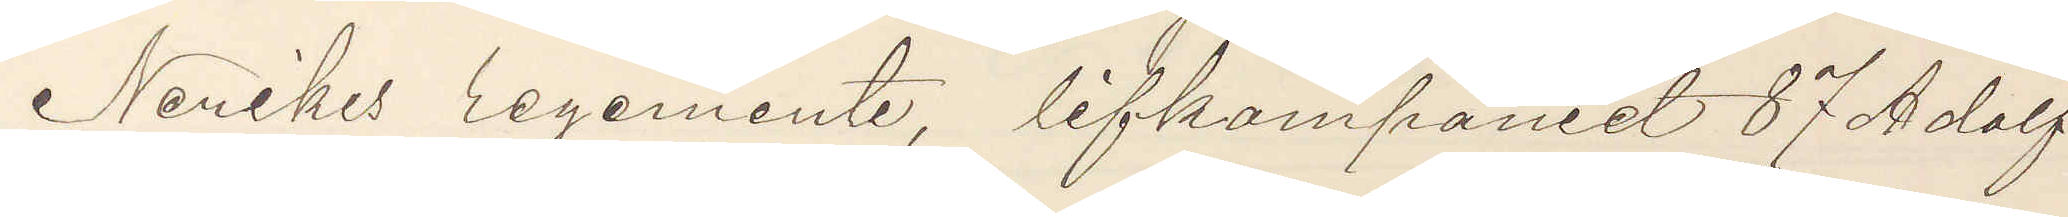Nerikes regemente, lifkompaniet 87 Adolf
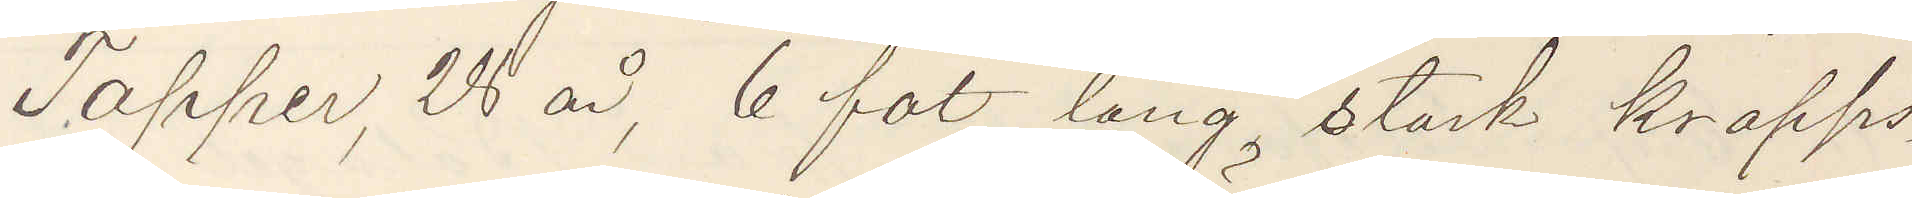Tapper, 28 år, 6 fot lång, stark kropps¬
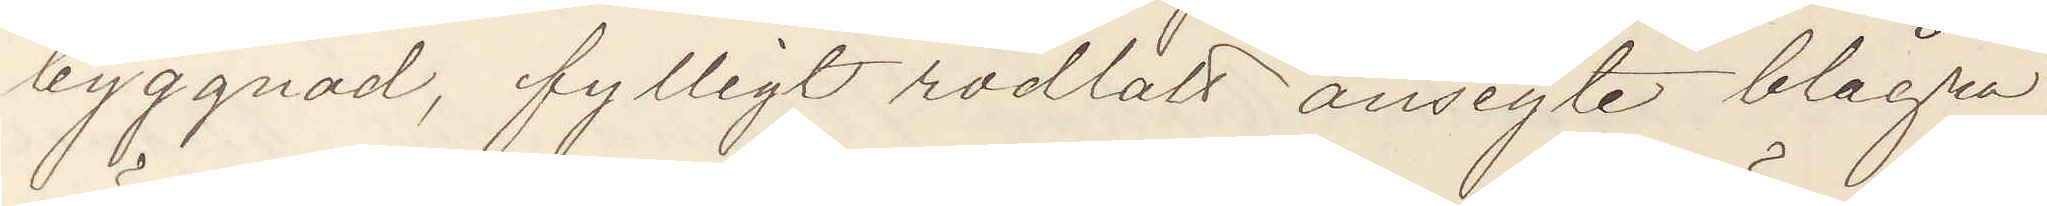byggnad, fylligt rödlatt ansigte blågrå
